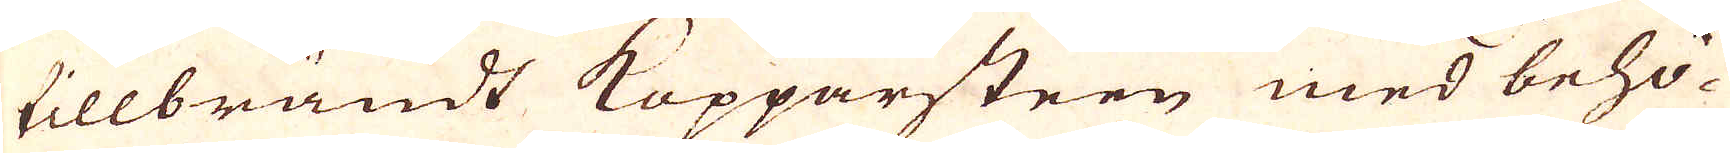tillbrändt Kopparsteen med behö-
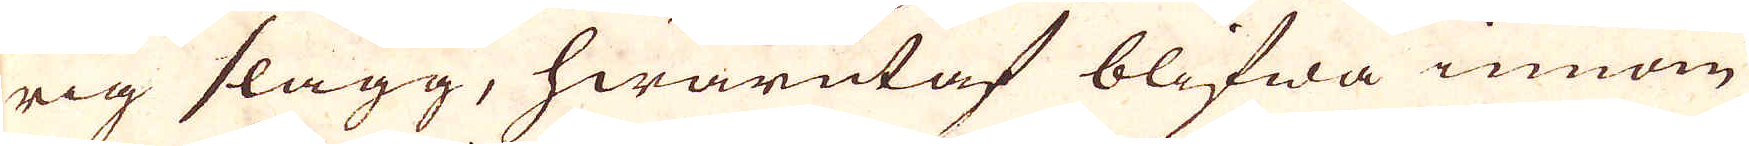rig slagg, hwarutaf blifwa innom
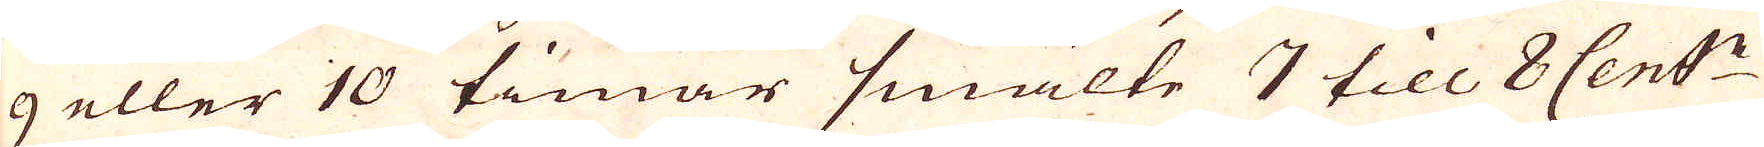9 eller 10 timar smälte 7 till 8 Cent:n
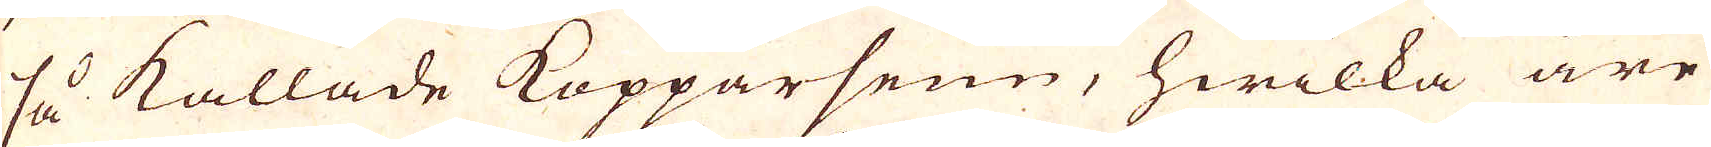så kallade Kopparseun, hwilka äre
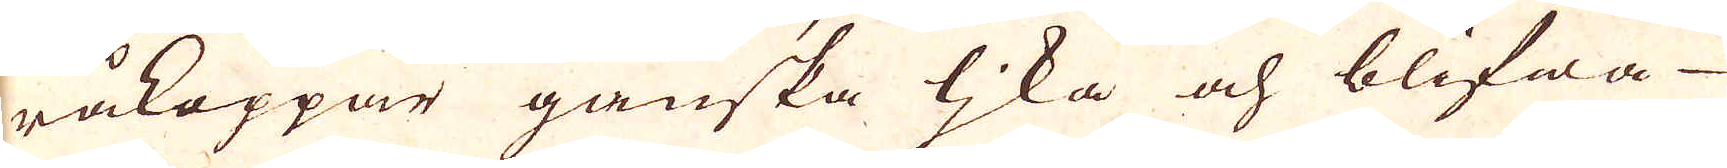råkoppar ganska lika och blifwa
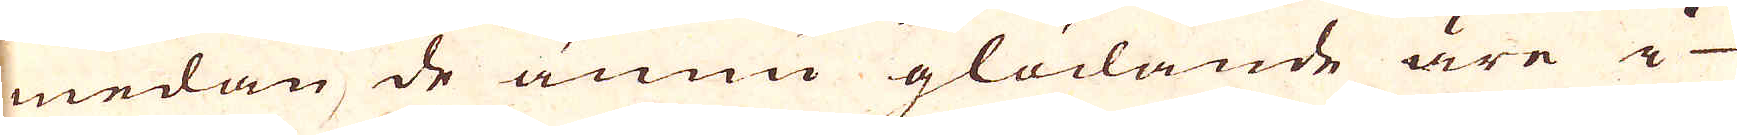medan de ännu glödande äre i
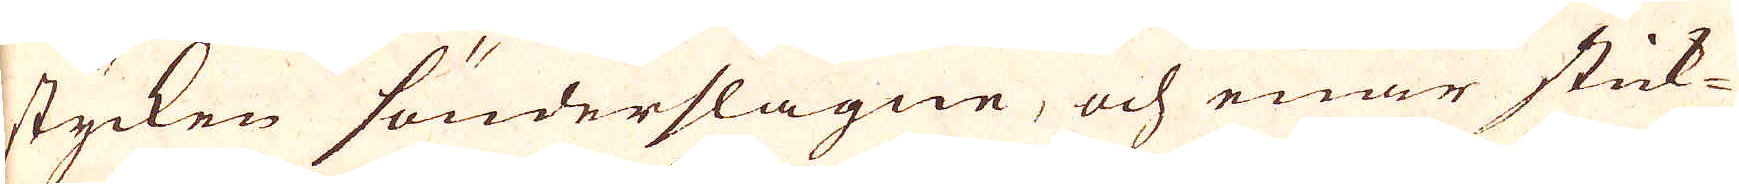stycken sönderslagne, och enär stick-
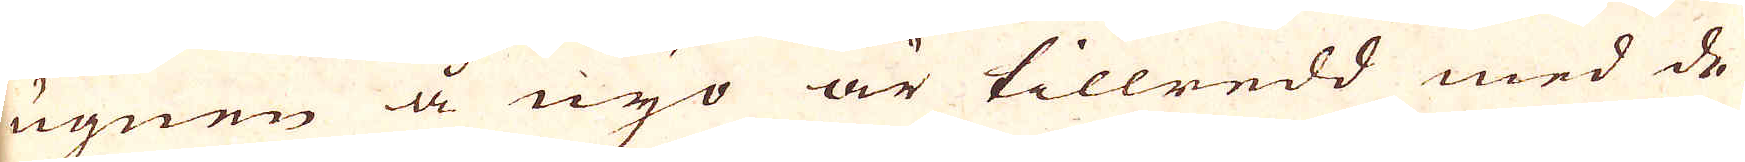ugnen å nyo är tillredd med de
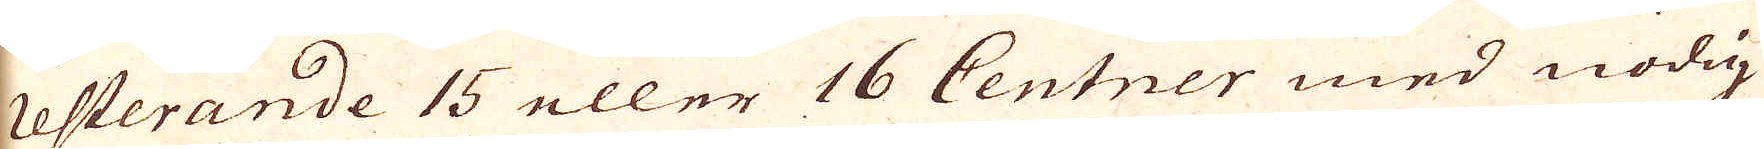resterande 15 eller 16 Centner med nödig
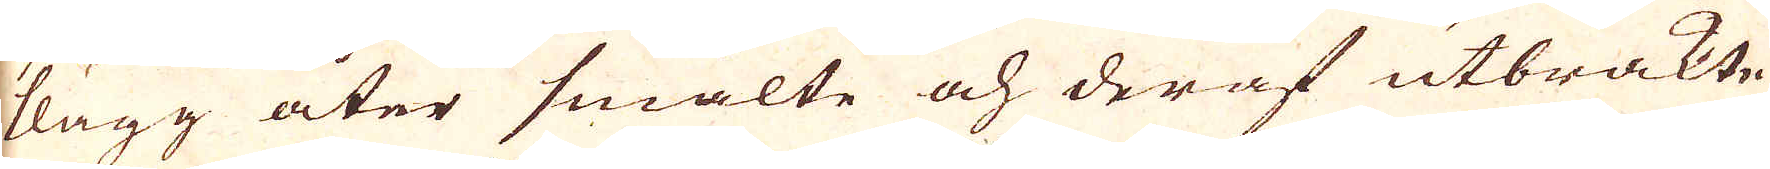slagg åter smälte och deraf utbrakte
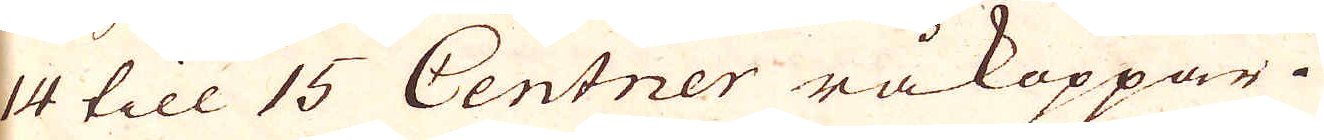14 till 15 Centner råkoppar.
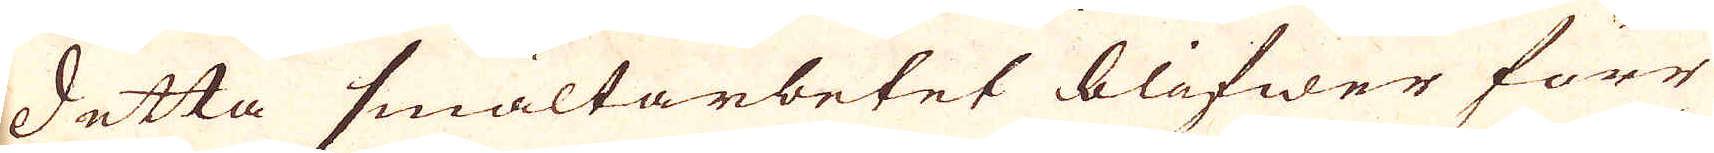Detta smältarbetet blifwer förr
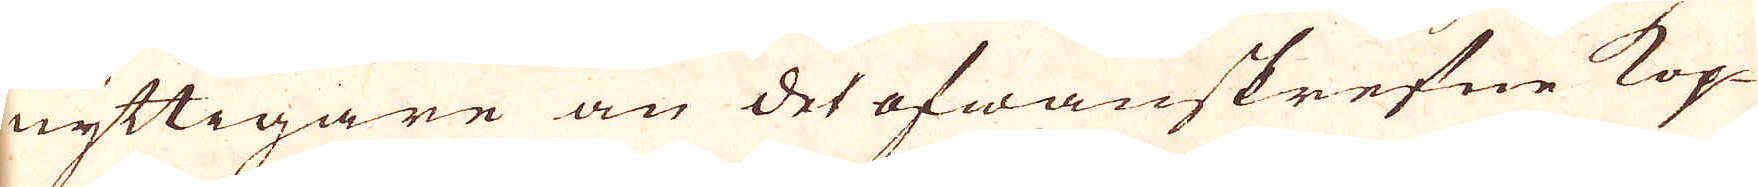nyttigare än det ofwanskrefne Kop-
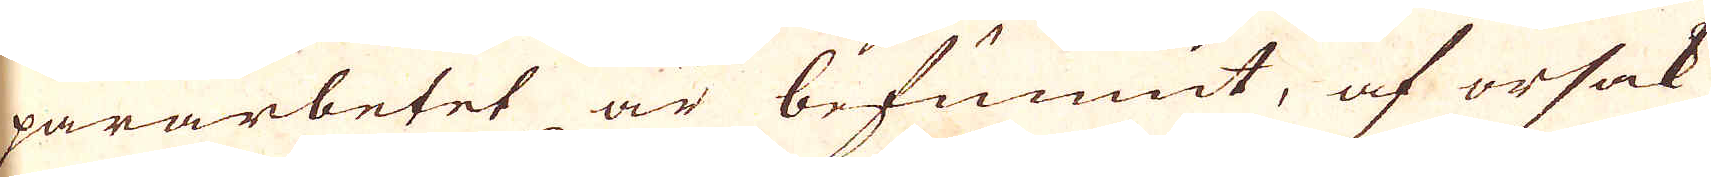pararbetet är befunnit, af orsak
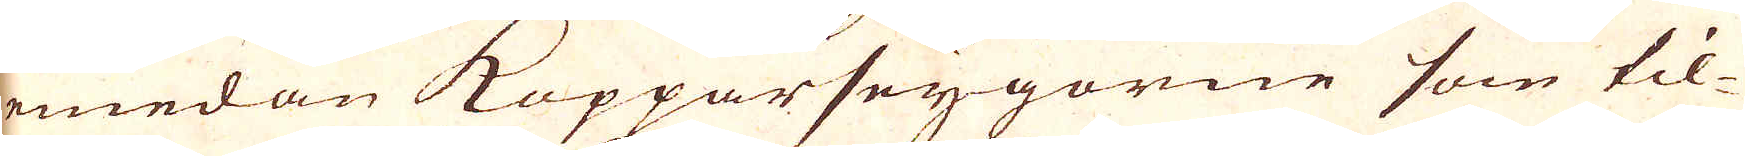emedan Kopparseygorne som til-
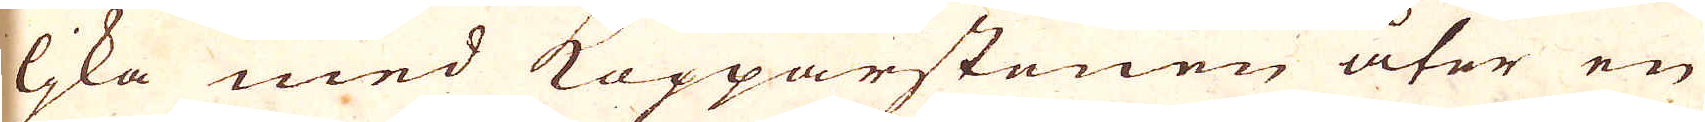lika med Kopparstenen åter en
